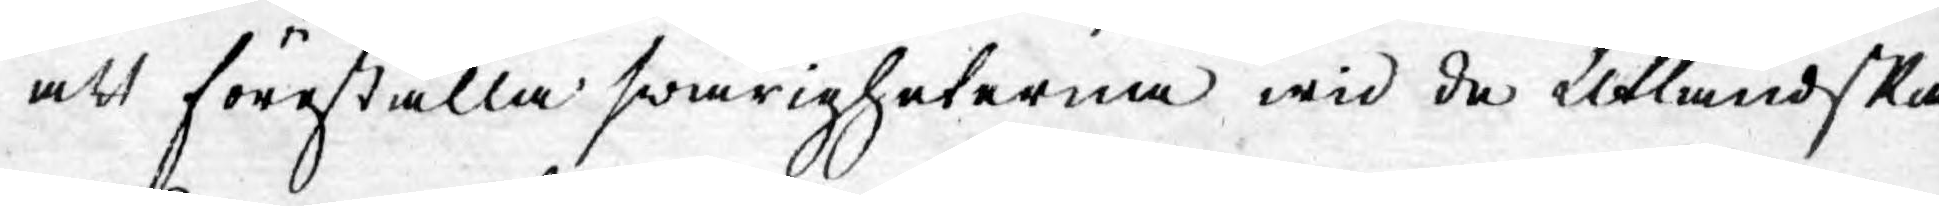att föreställa swårigheterna wid de Utländska
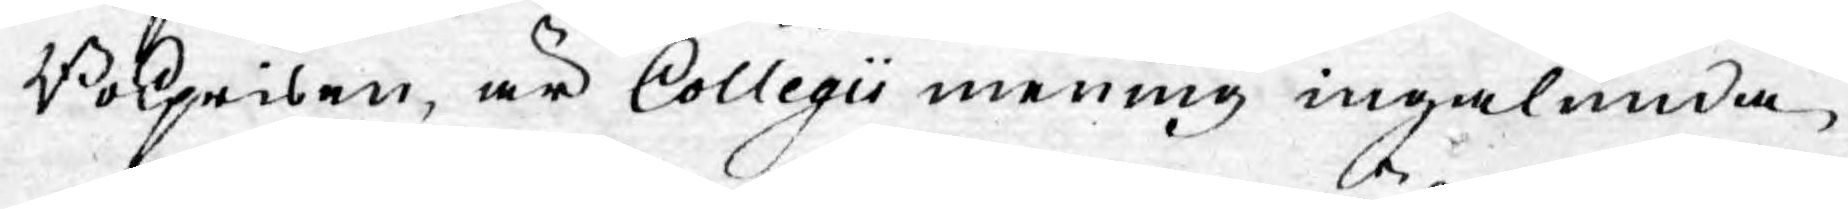Bokprisen, är Collegii mening ingalunda,
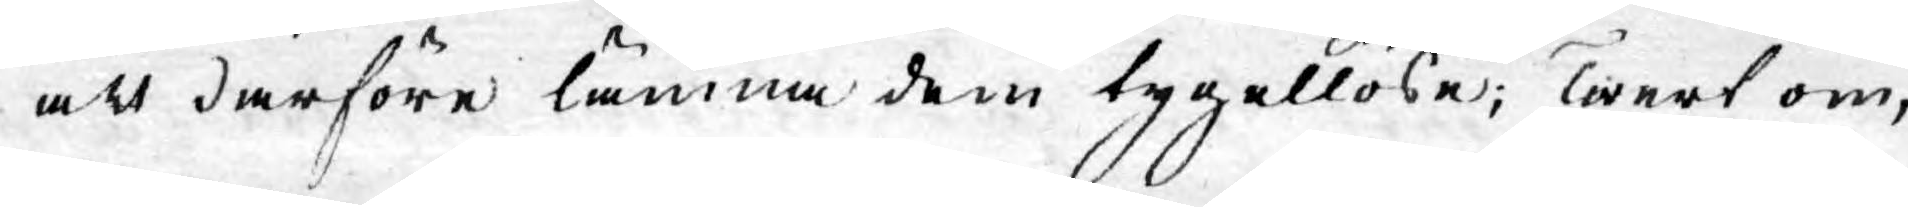att därföre lämna dem tygellöse; Twert om,
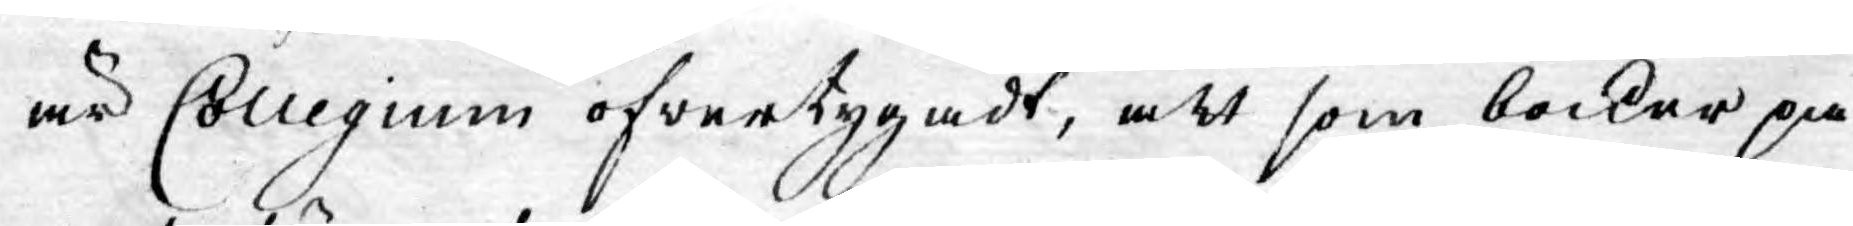är Collegium öfwertygadt, att som böcker på
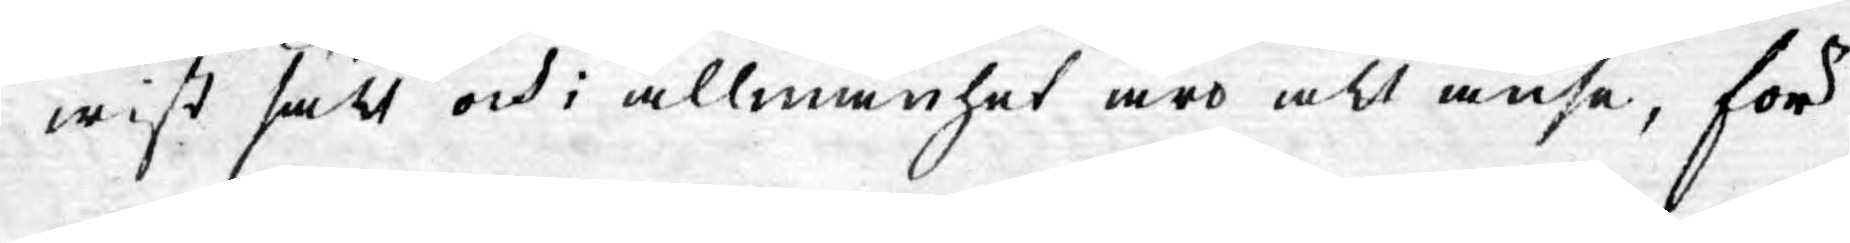wist sätt och i allmänhet äro att anse, för
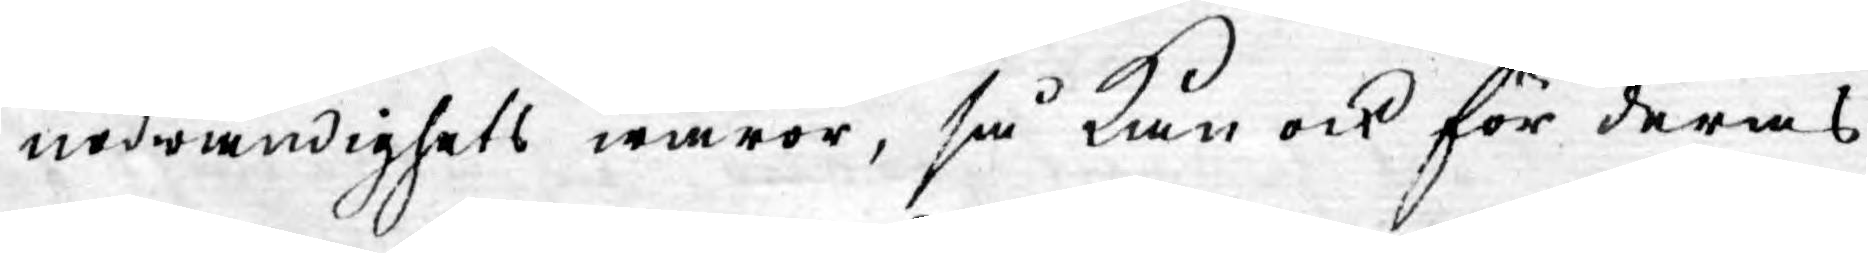nödwändighets waror, så kan ock för deras
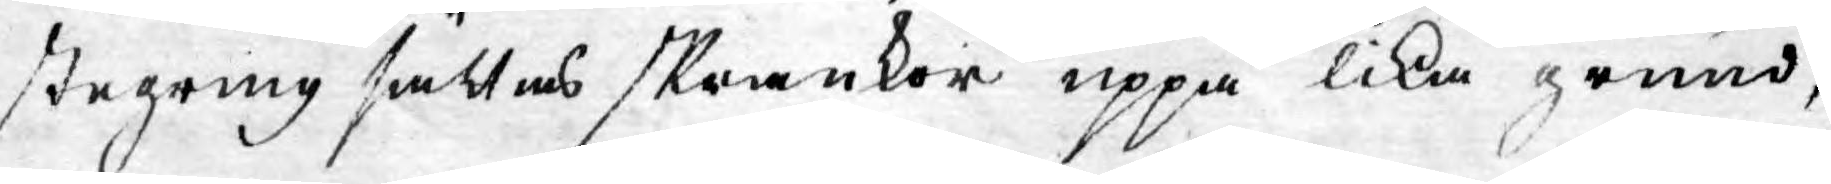stegring sättas skrankor uppå lika grund,
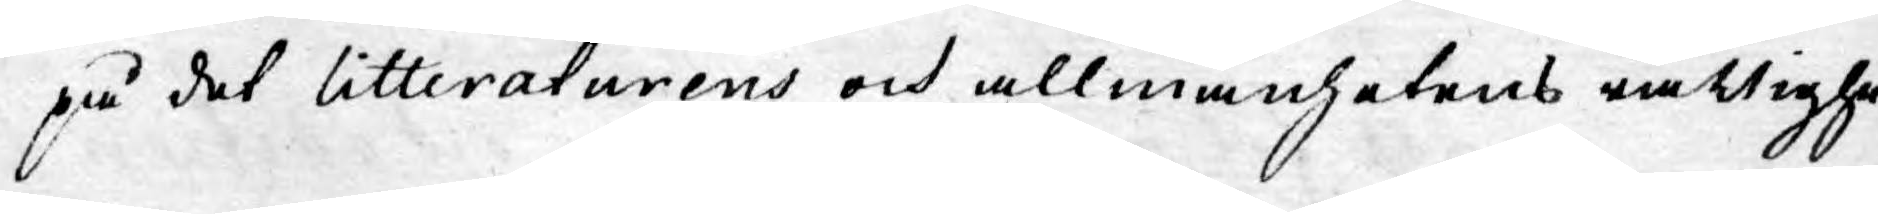på det litteraturens och allmänhetens rättighe¬
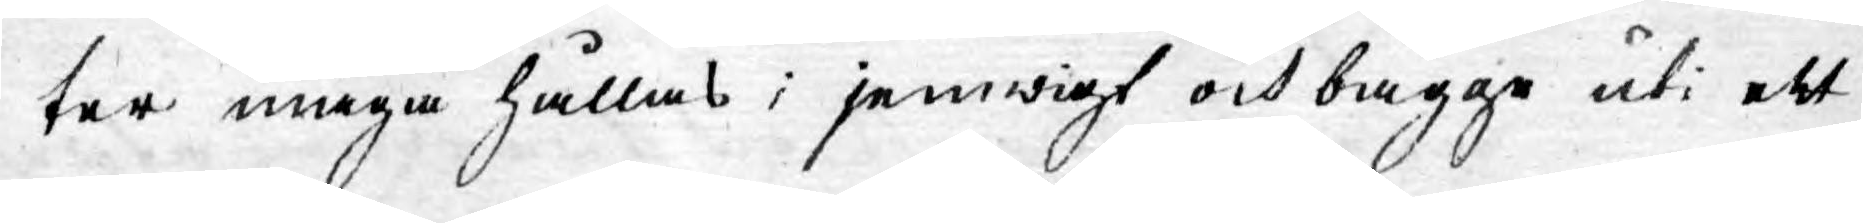ter måga hållas i jemwigt och bägge uti ett
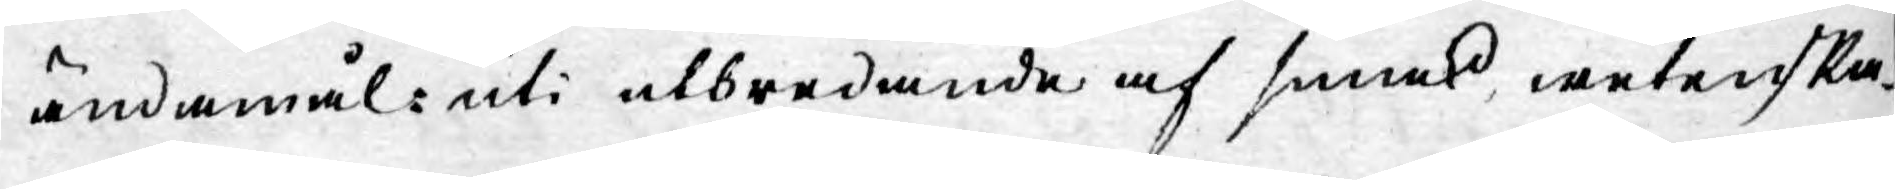ändamål: uti utbredande af smak, wetenska¬
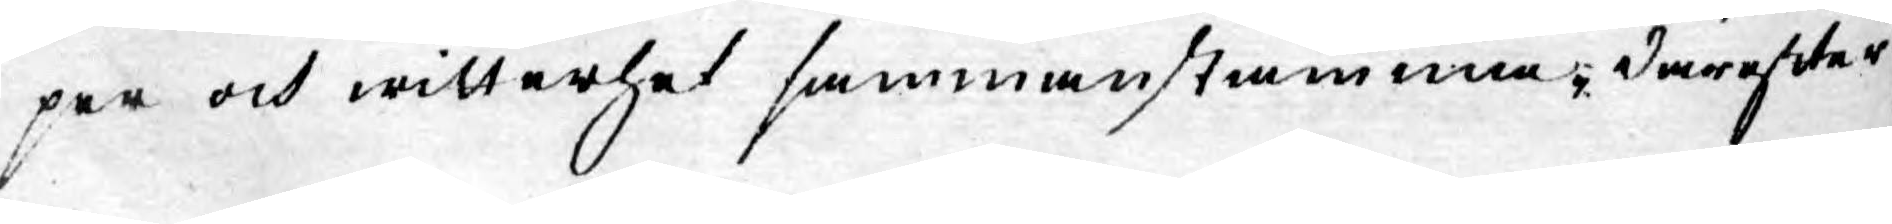per och witterhet sammanstämma. Därefter
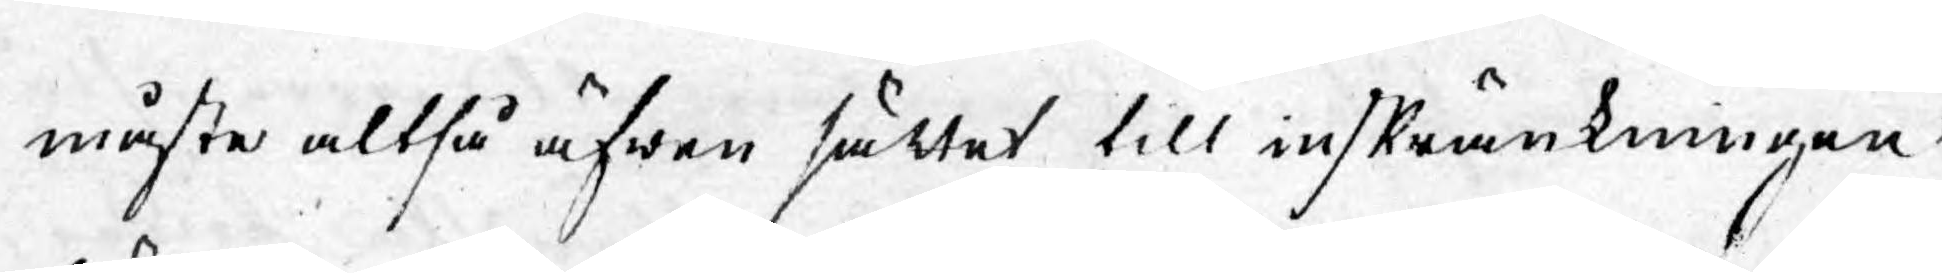måste altså äfwen sättet till inskränkningen
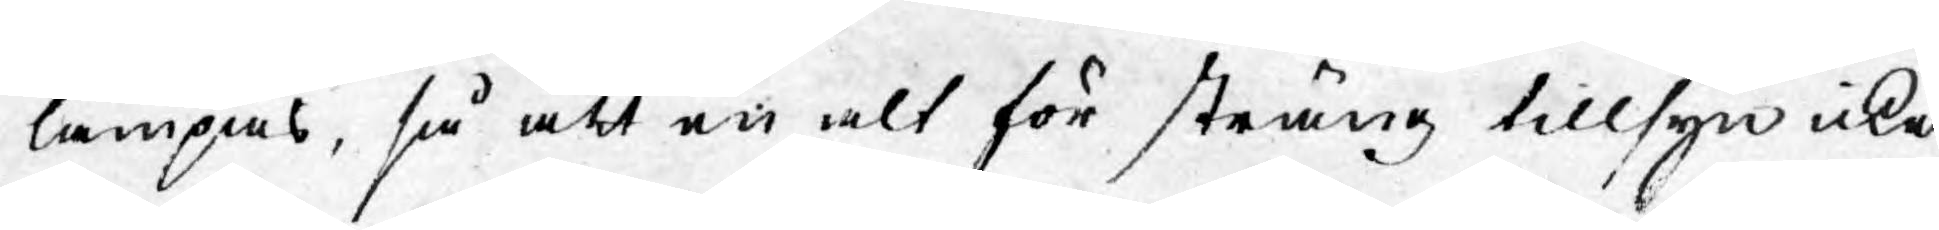lämpas, så att en alt för sträng tillsyn icke
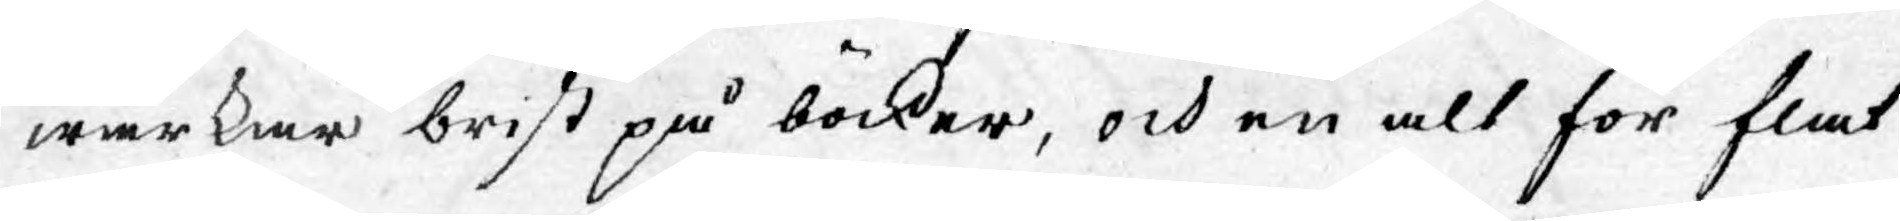wärkar brist på böcker, och en alt för flat
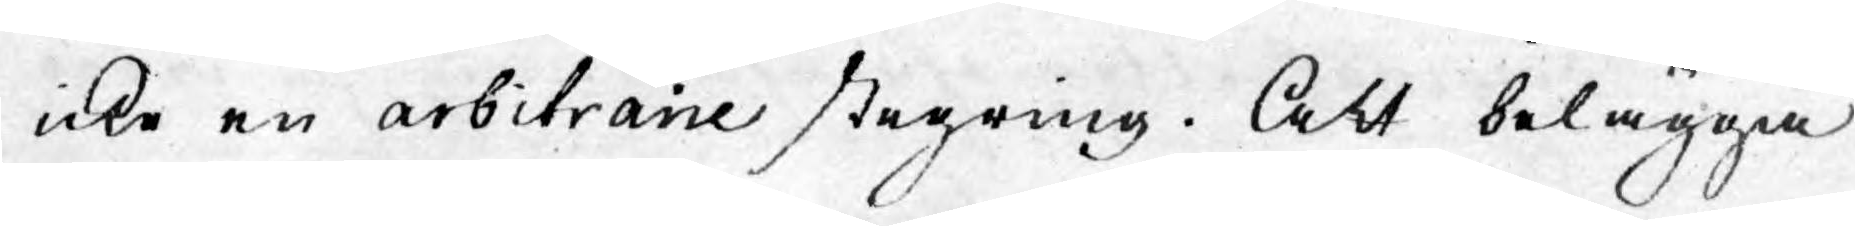icke en arbitraire stegring. Att belägga
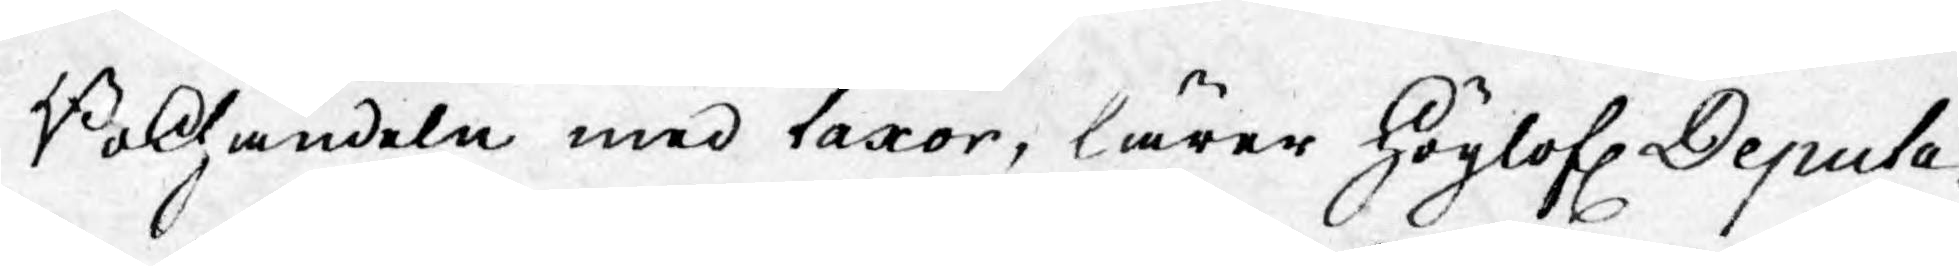Bokhandeln med taxor, lärer Höglofl. Deputa¬
